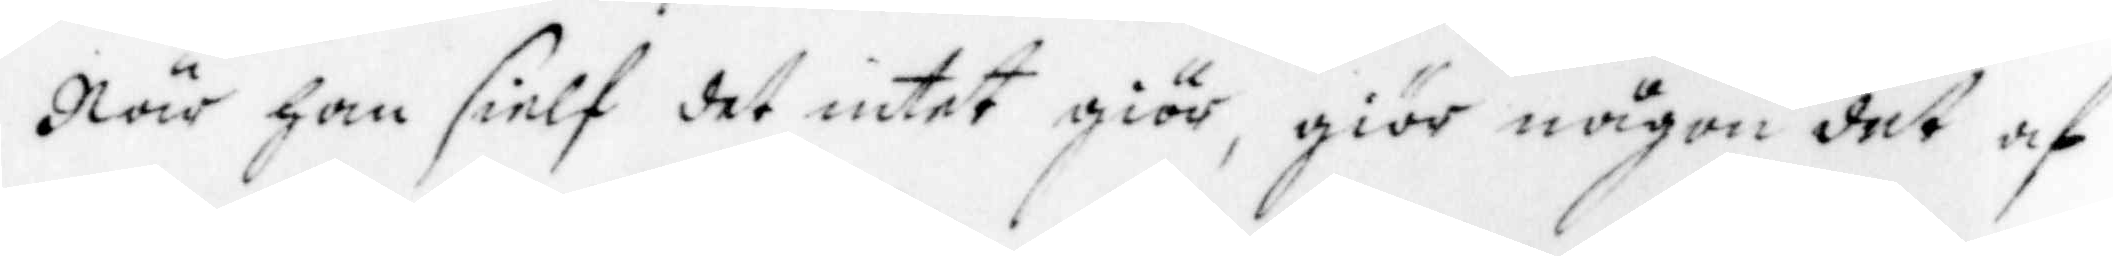När han sielf det intet giör, giör någon det af
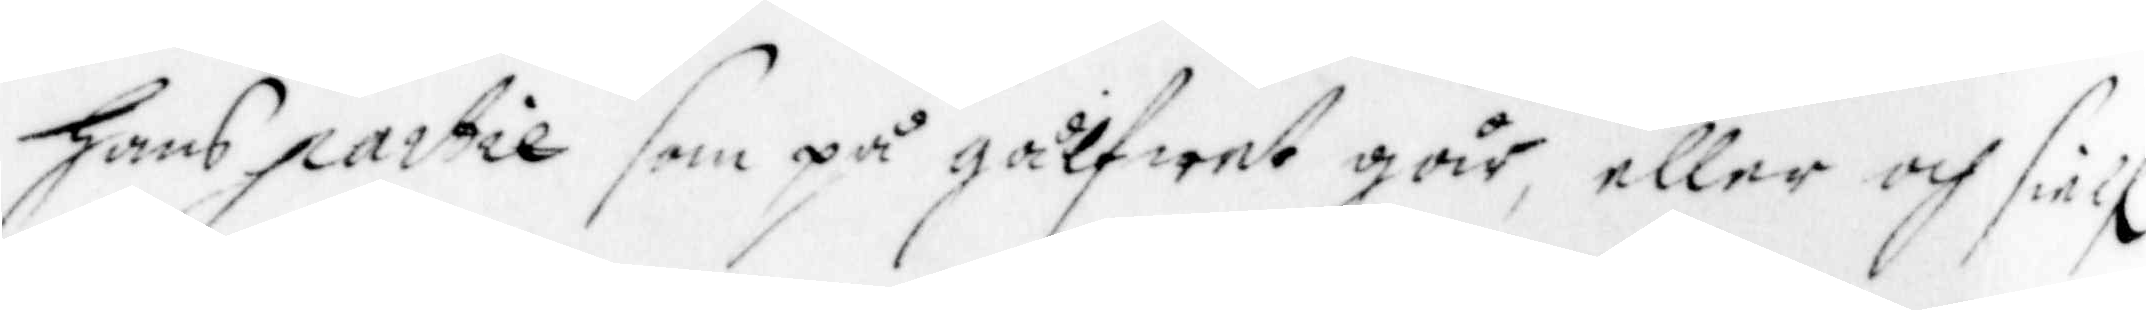hans partie som på gålfwet går, eller och sielf
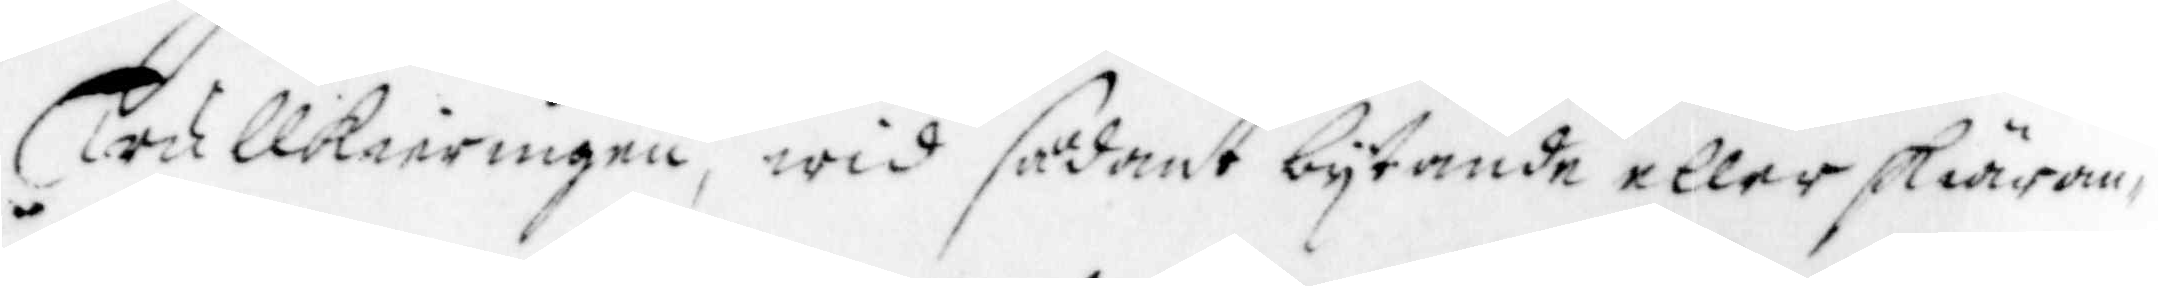Trullkieringen, wid sådant bytande eller skiäran¬
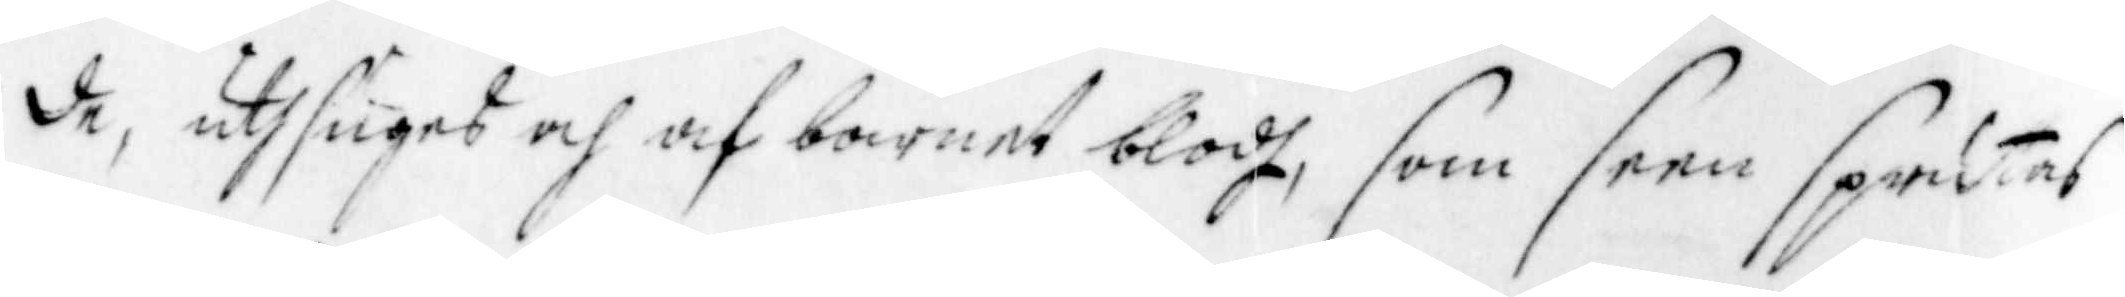de, uthsuges och af barnet blodh, som seen sprutas
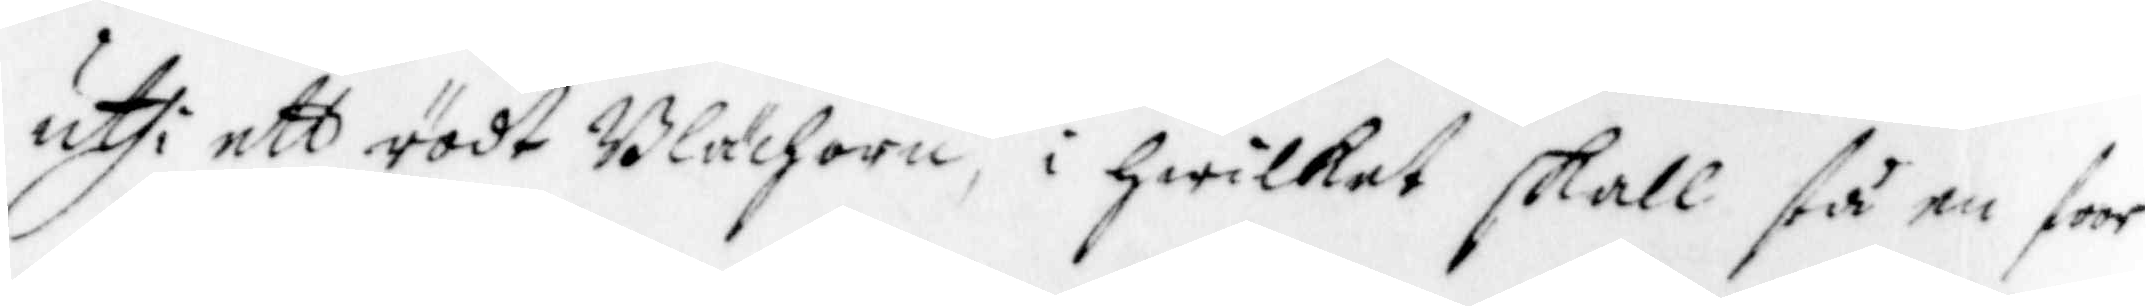uthi ett rödt Blächorn, i hwilket skall stå en stor
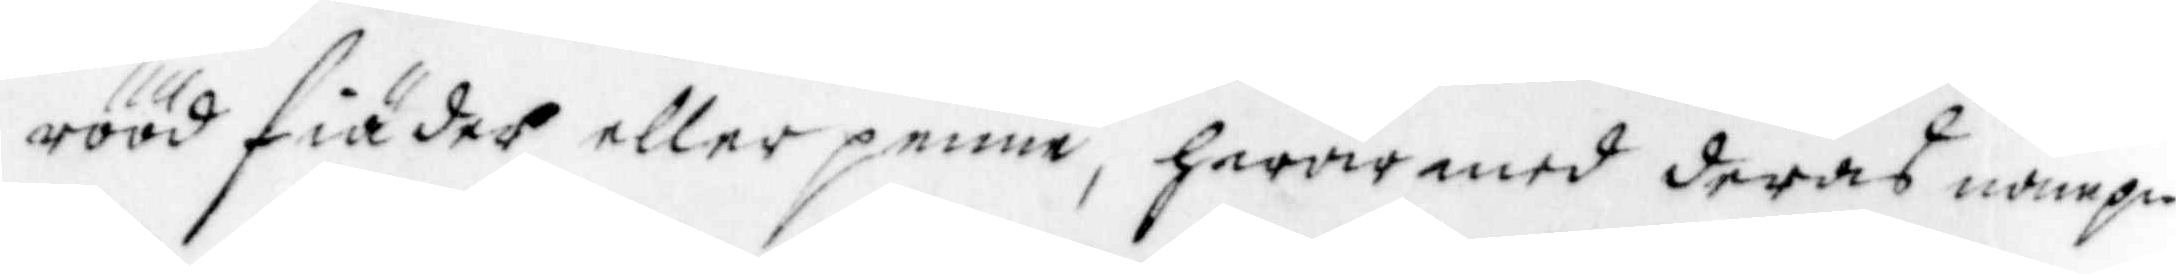rööd fiäder eller penne, hwar med deras nampn
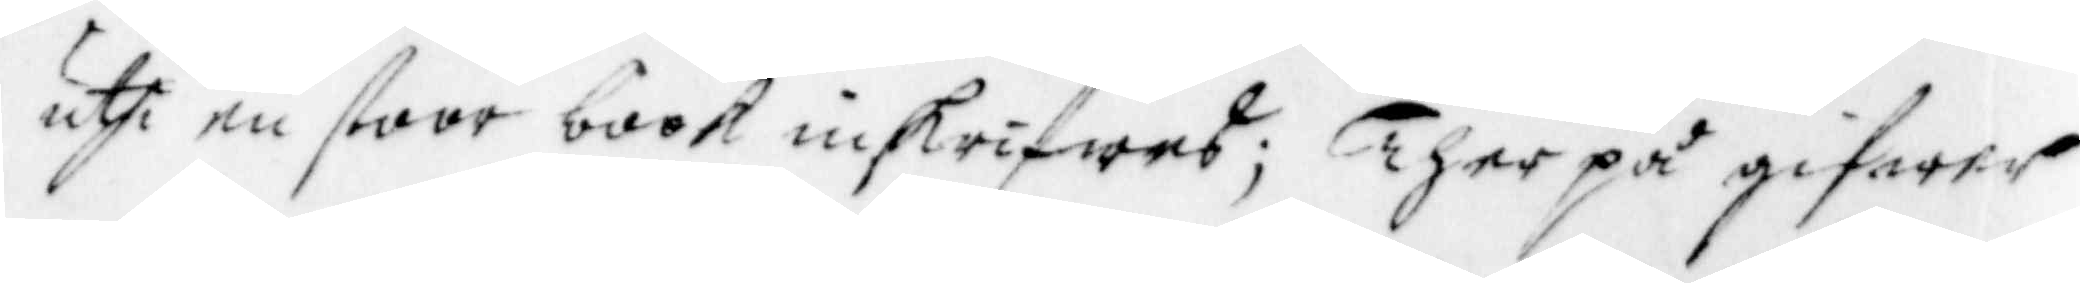uthi en stoor book inskrifwes; Ther på gifwer
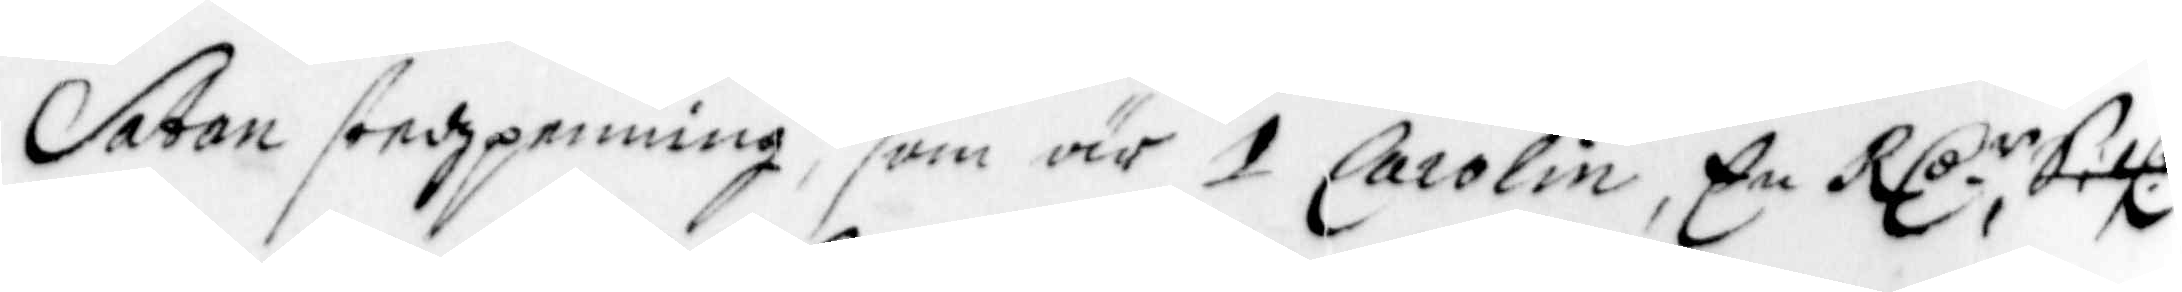Satan stedzpenning, som är 1 Carolin, En Rl:r Silf: 
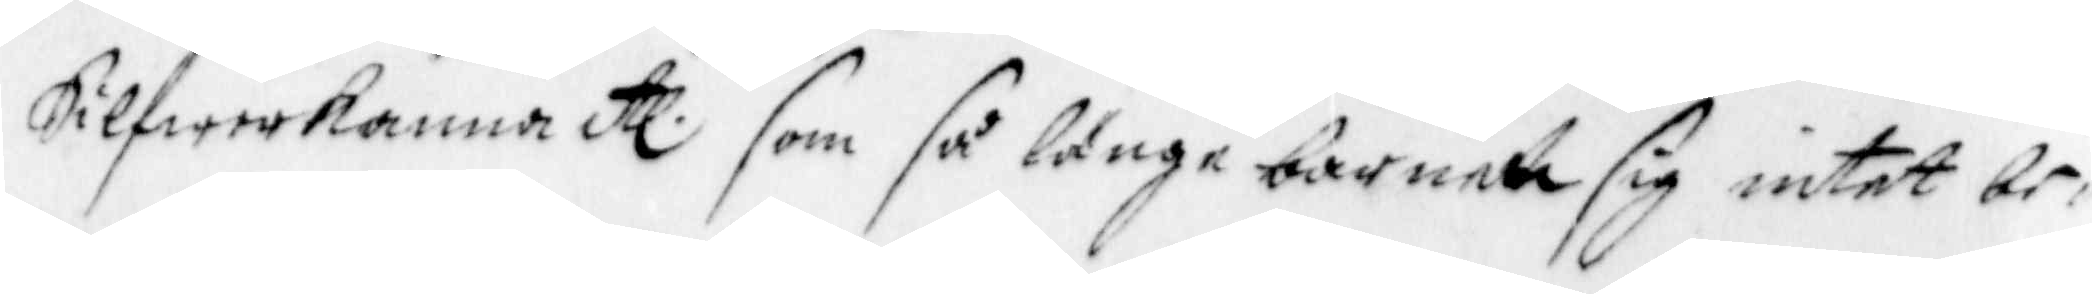Silfwerkanna etc som så länge barnet sig intet be¬ 
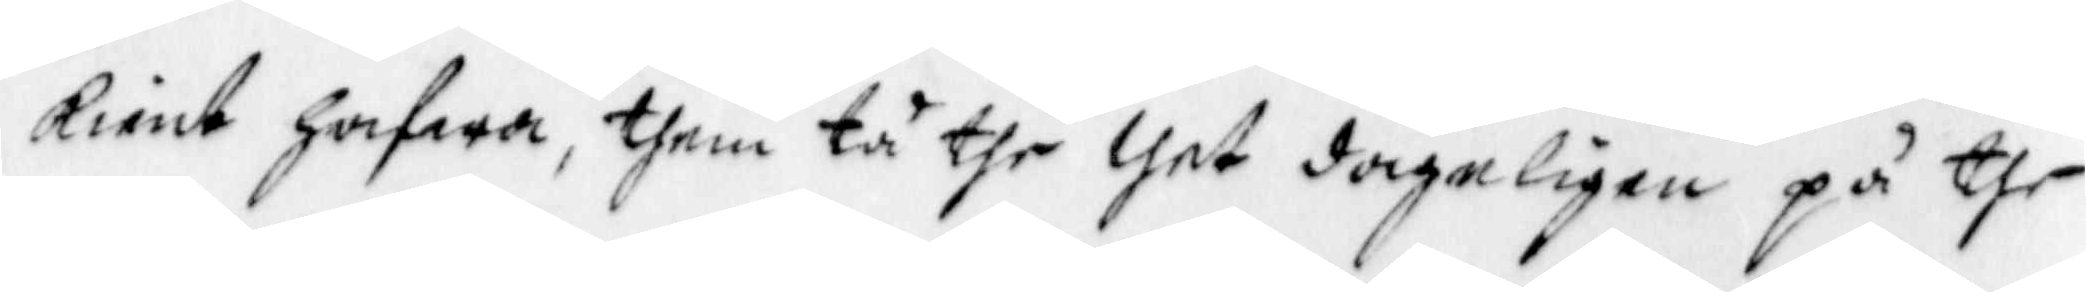kient hafwa, them tå the thet dageligen på the
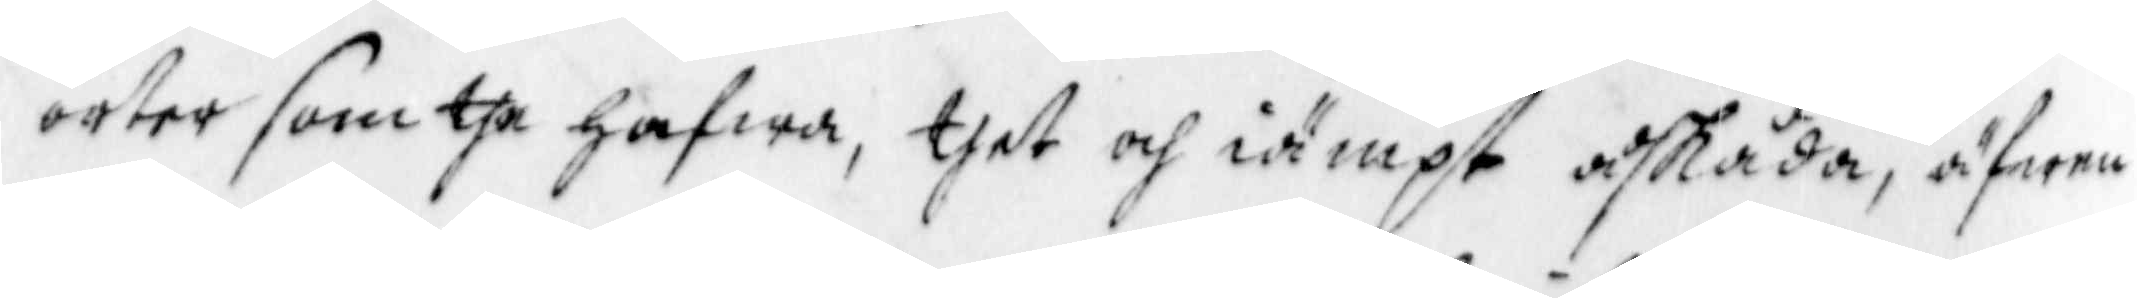orter som the hafwa, thet och iämpt åskåda, äfwen
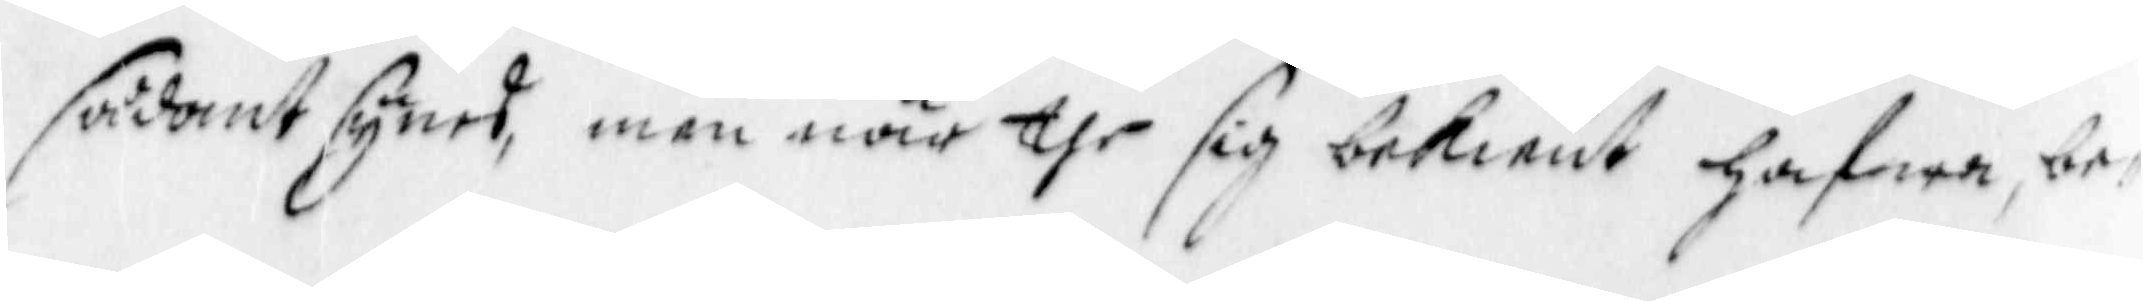sådant synes, men när the sig bekient hafwa, be¬
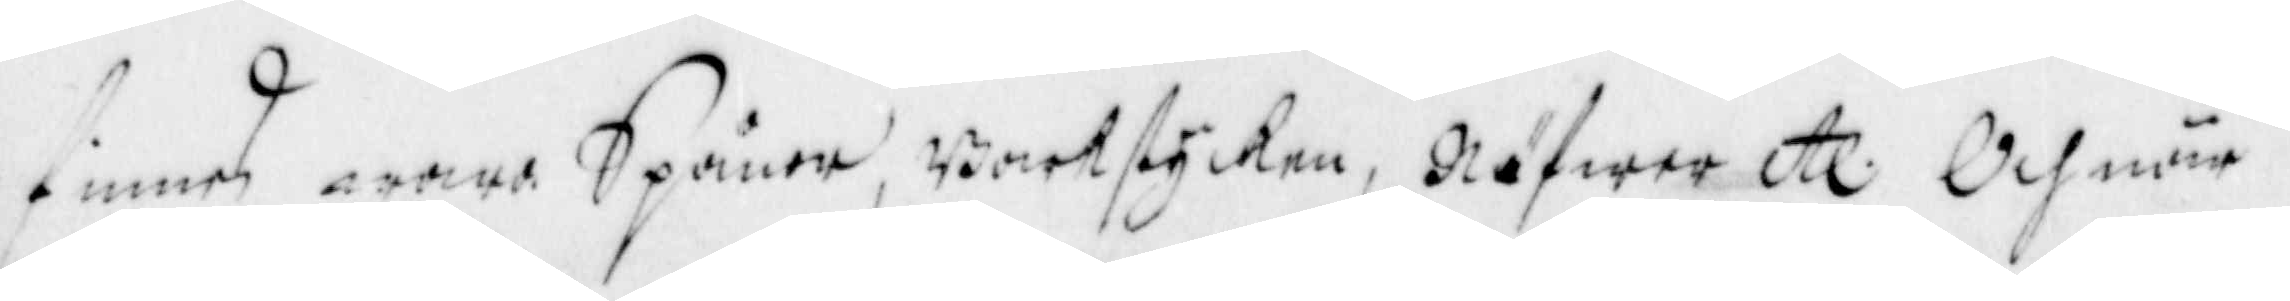finnes wara Spånor, Barkstycken, Näfwer etc Och när 
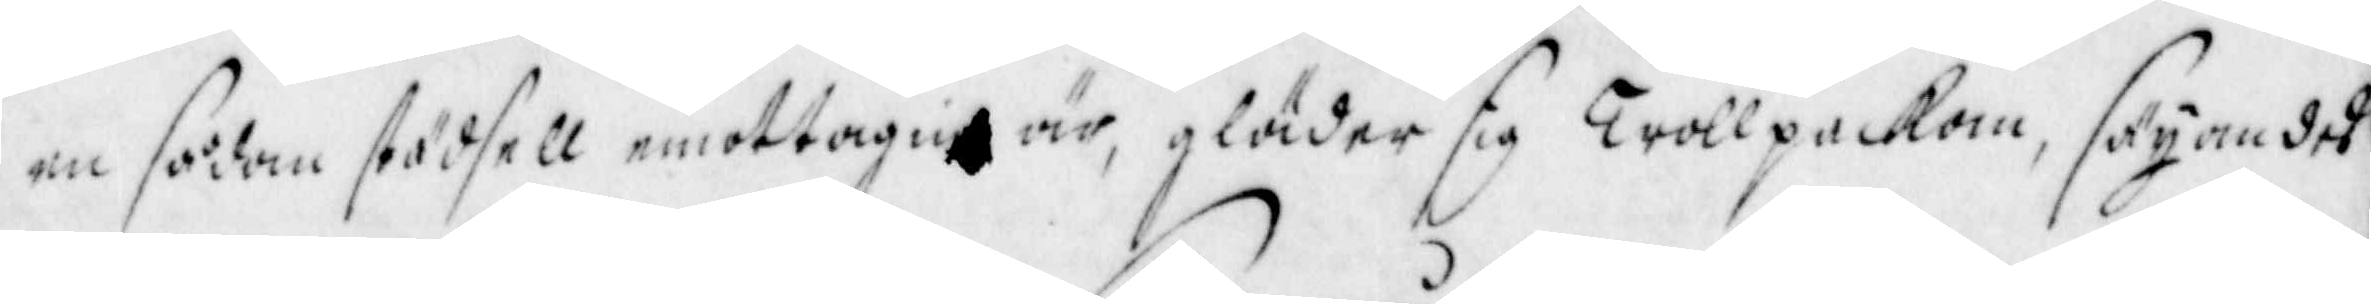en sådan städfell emottagin är, gläder sig Trollpackan, säyandes
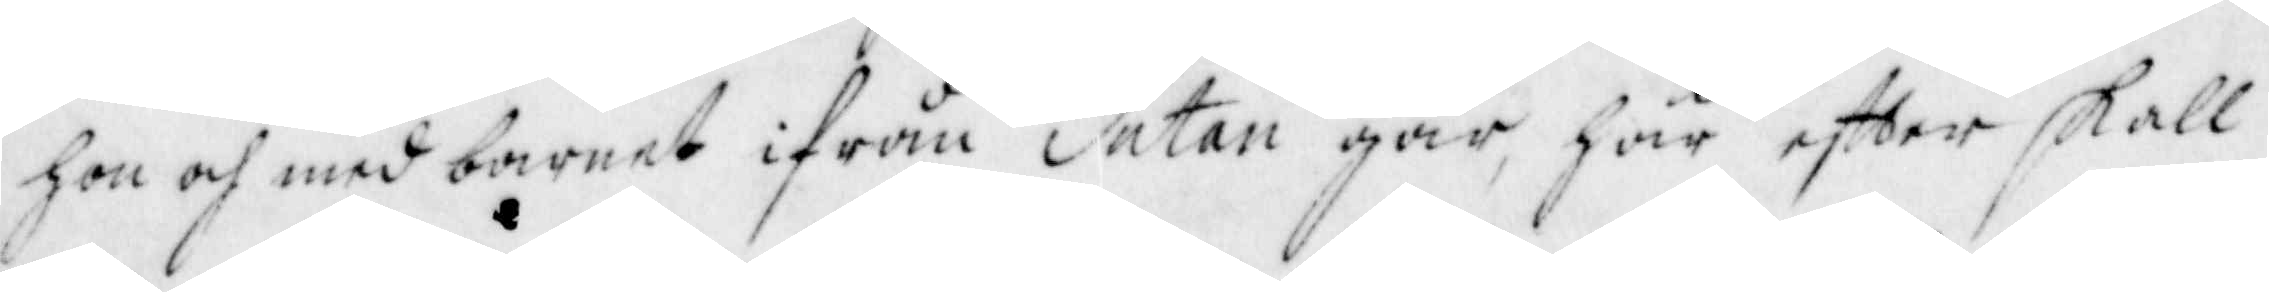hon och med barnet ifrån Satan går, här effter skall
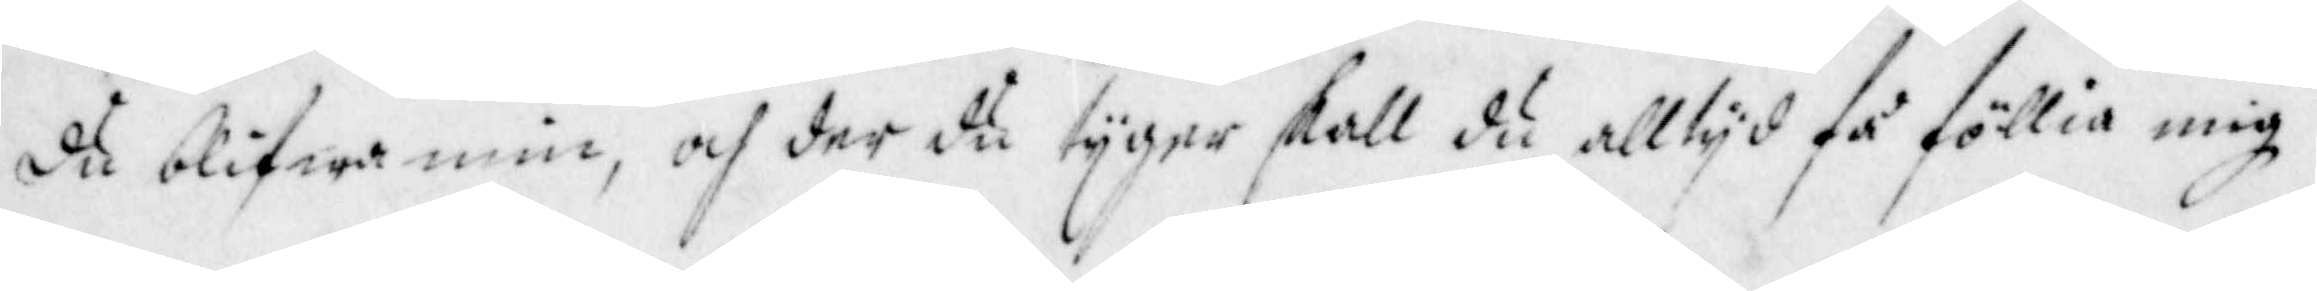då blifwa min, och der du tyger skall du alltyd få föllia mig
